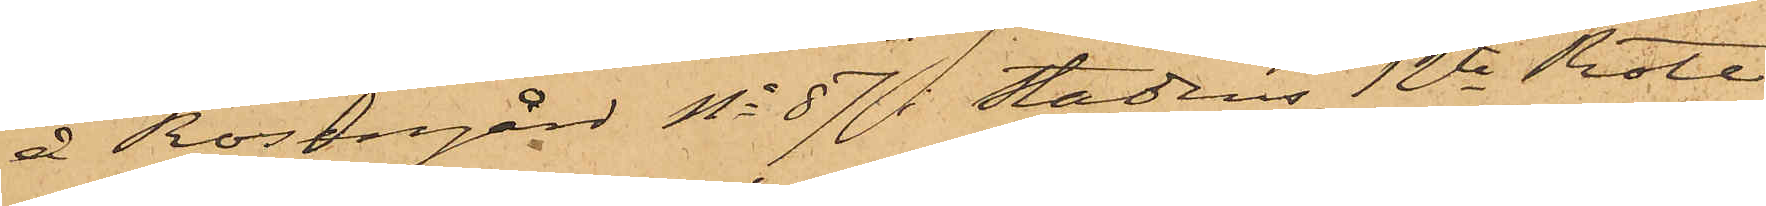å Rosengård No 87 i Stadens 12te Rote,
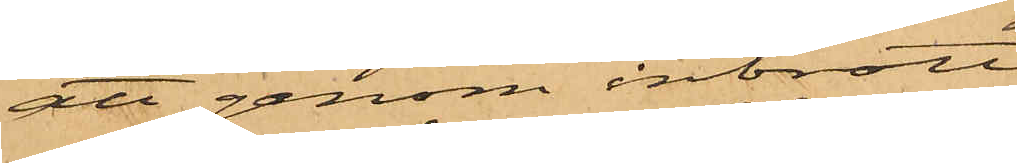att genom inbrott
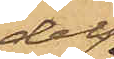dels
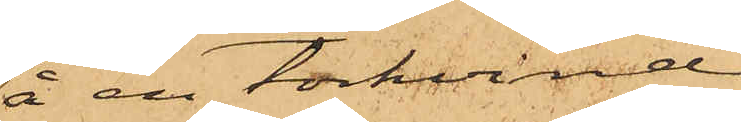å en torkvind
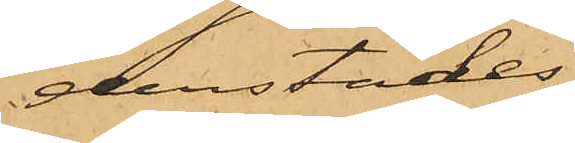derstädes
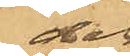dels
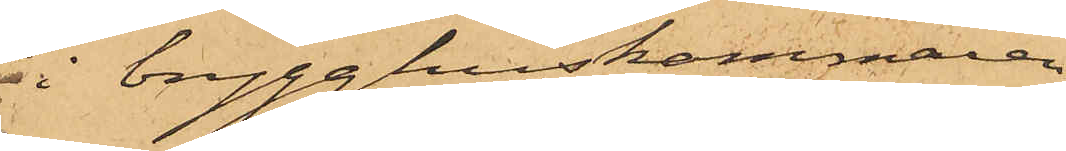i brygghuskammaren
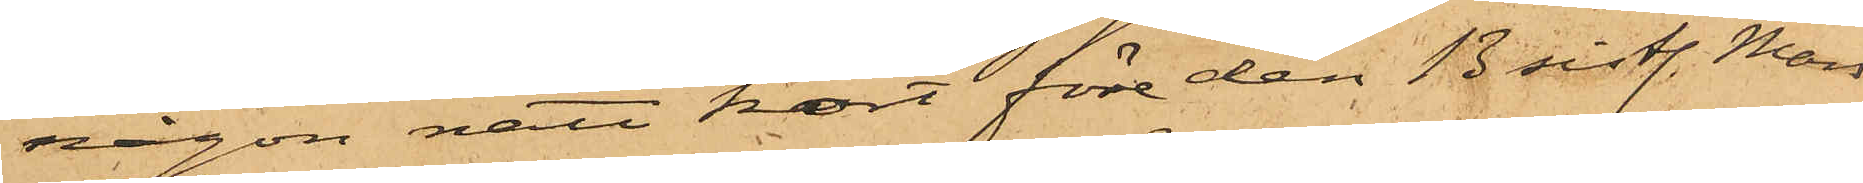någon natt kort före den 13 sistl. Mars
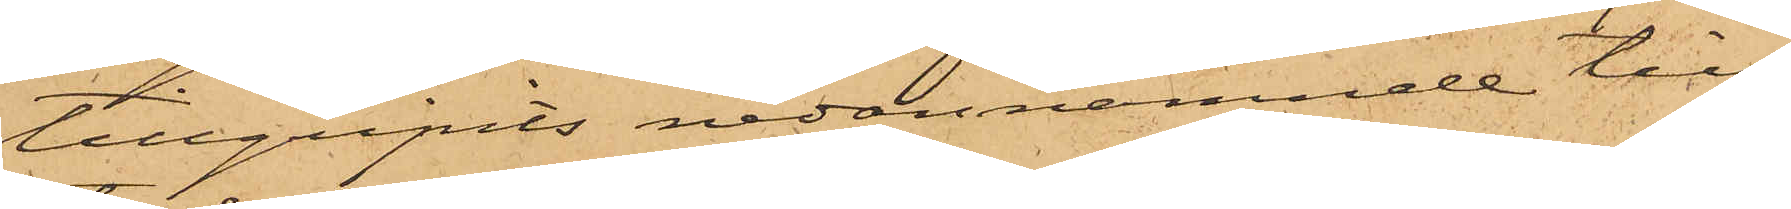tillgripits nedannämnde till
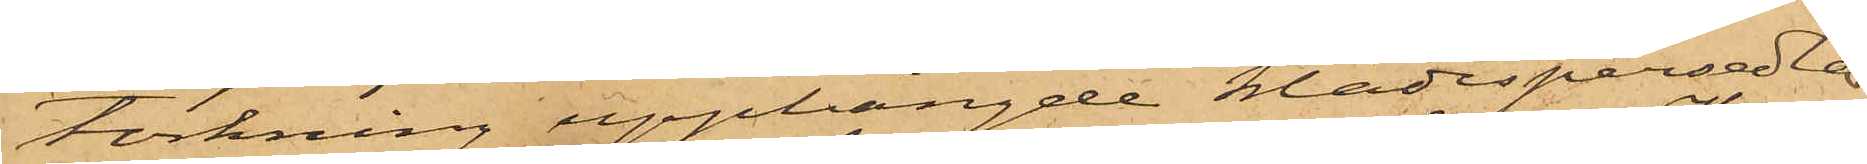torkning upphängde klädespersedlar
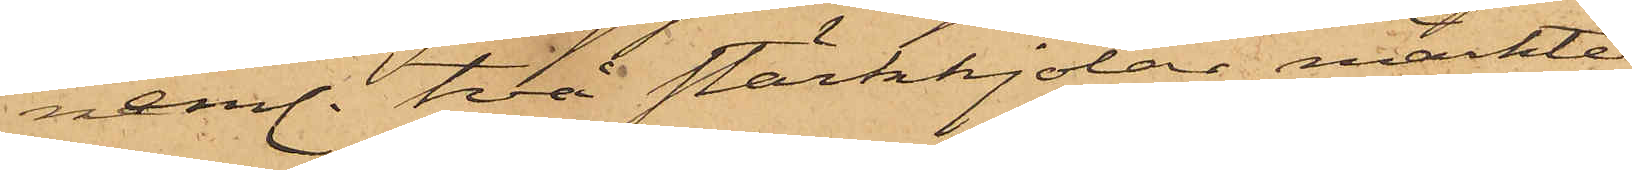neml. två stärkkjolar, märkte
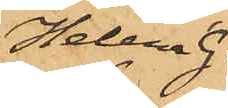Helen G.
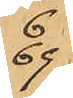6  69
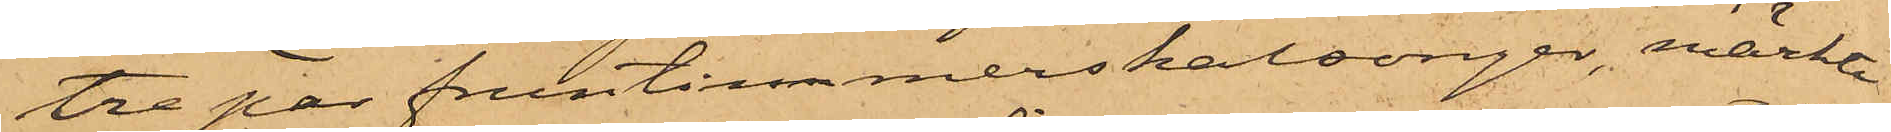tre par fruntimmerskalsonger, märkte
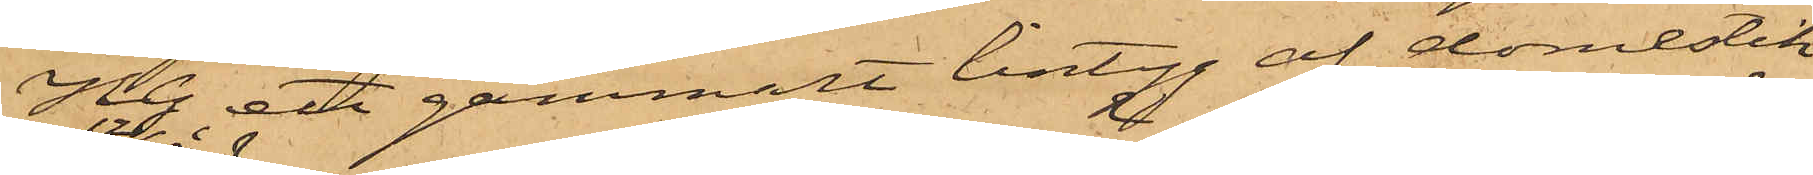H G, ett gammalt lintyg af domestik
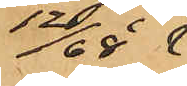12/68
